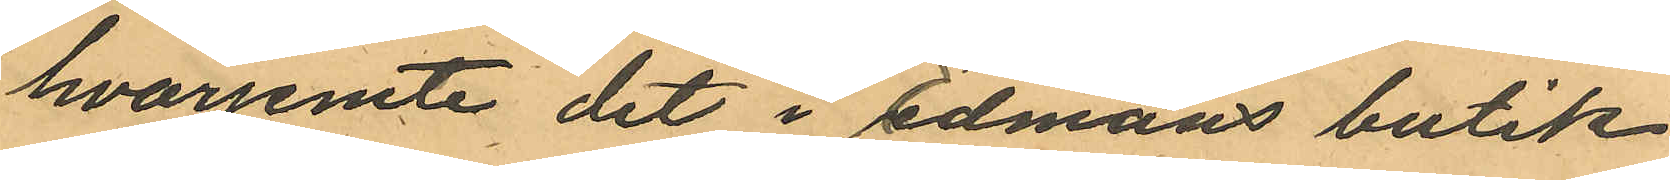hvarjemte det i Edmans butik
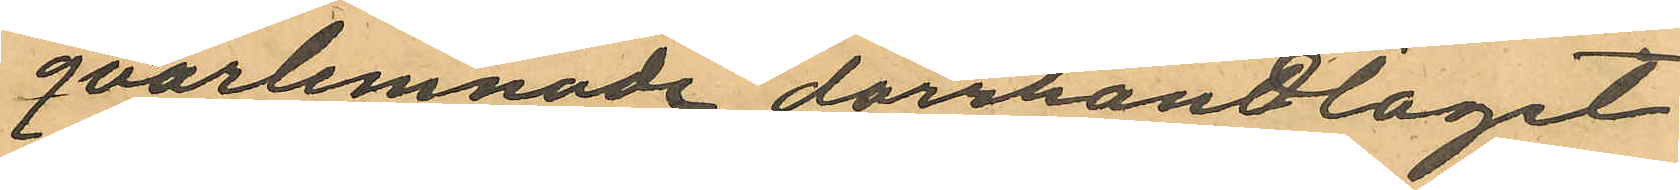qvarlemnade dörrhandtaget
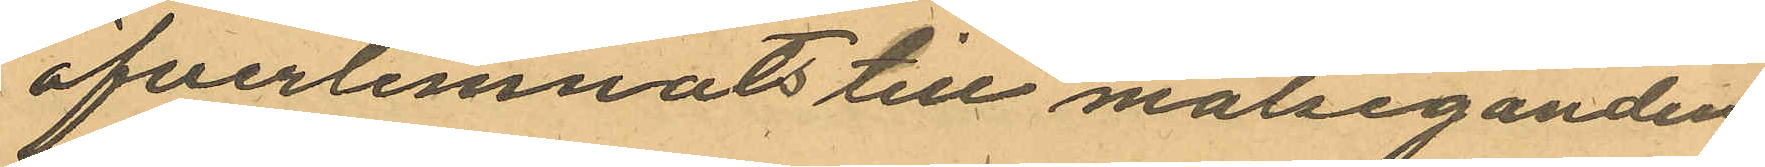öfverlemnats till målseganden.
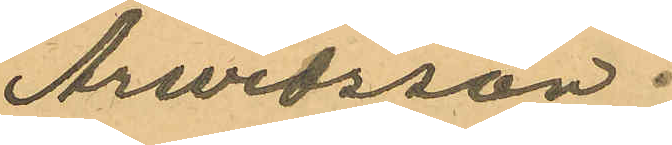Arwidsson.
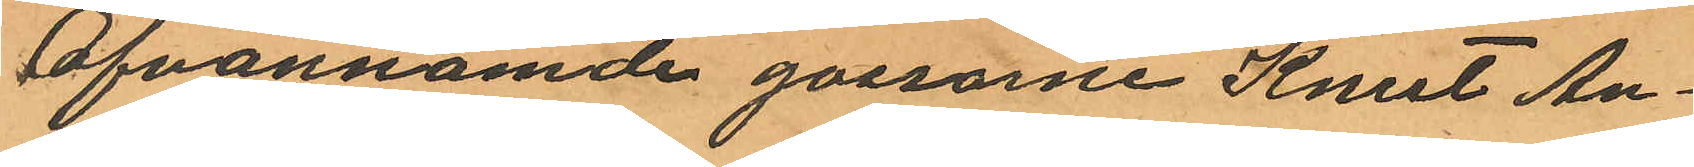Ofvannämde gossarne Knut An¬
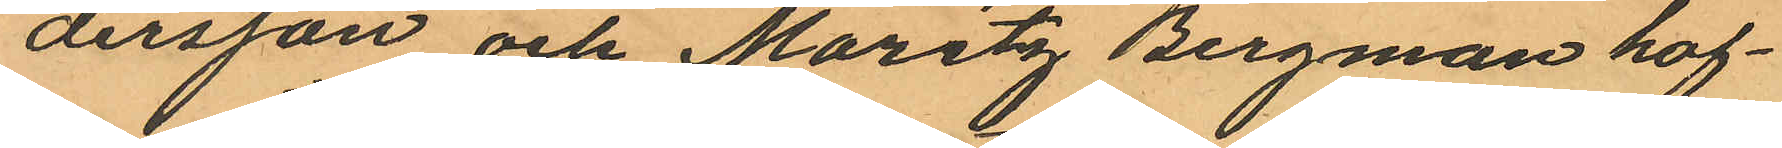dersson och Moritz Bergman haf¬
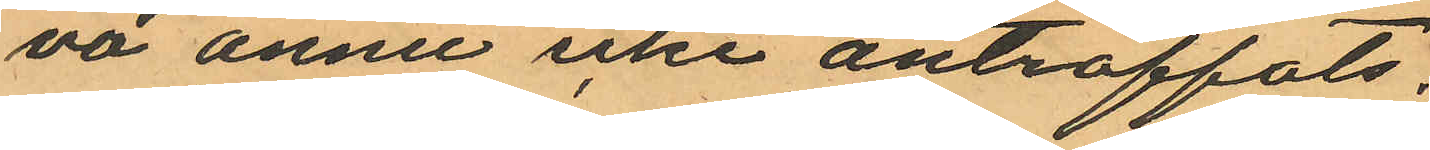va ännu icke anträffats.
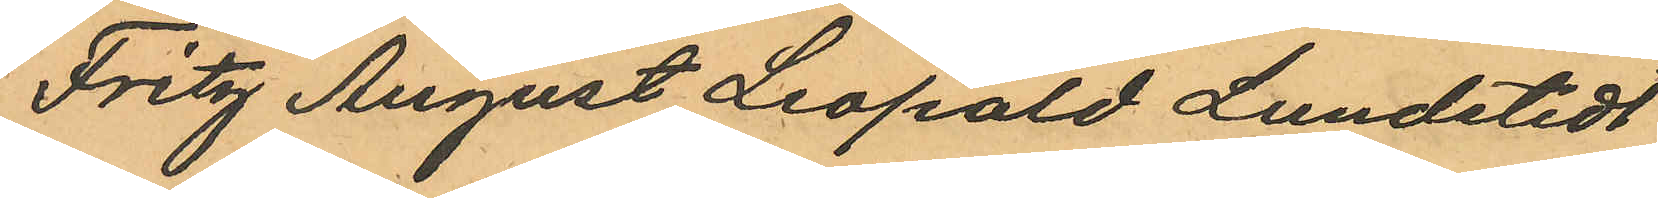Fritz August Leopold Lundstedt
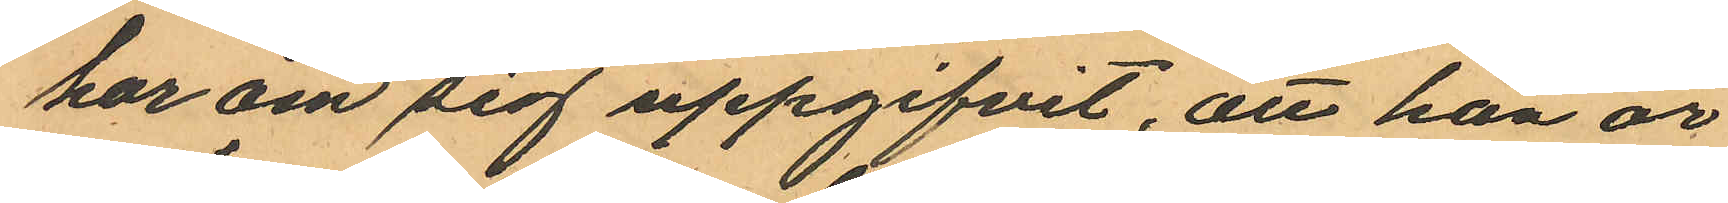har om sig uppgifvit, att han är
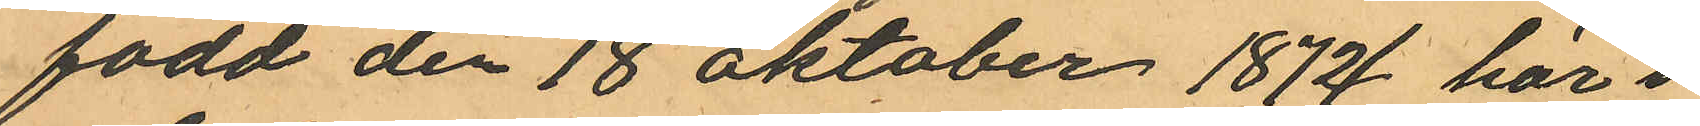född den 18 Oktober 1872 här i
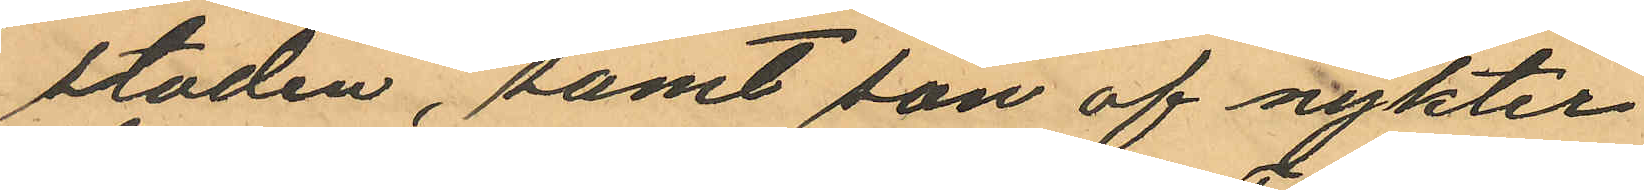staden, samt son af nykter¬
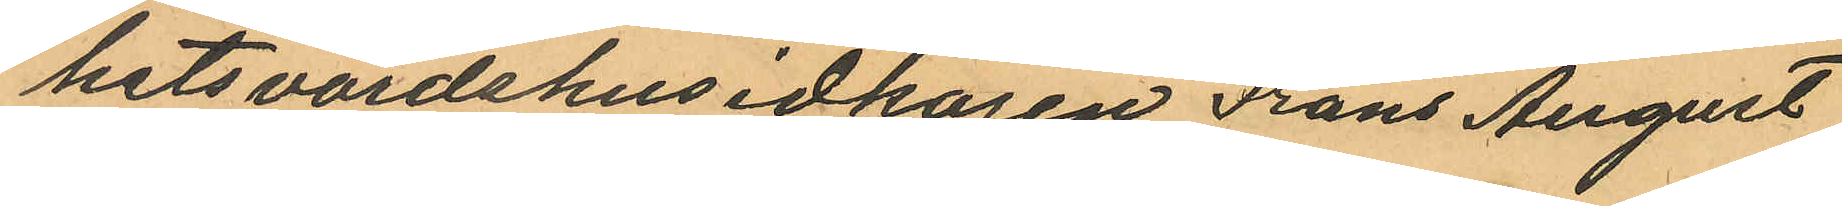hetsvärdshusidkaren Frans August
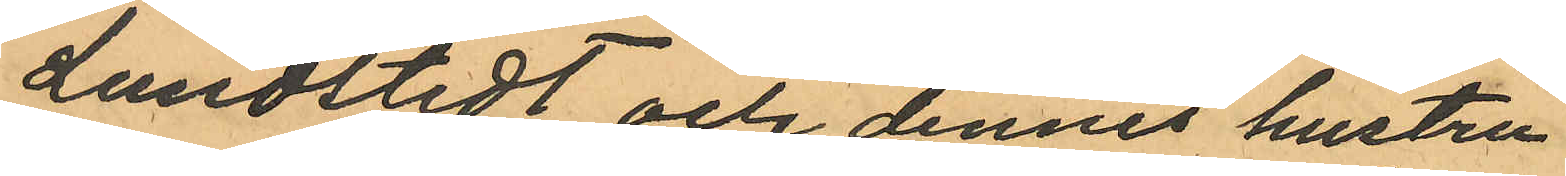Lundstedt och dennes hustru
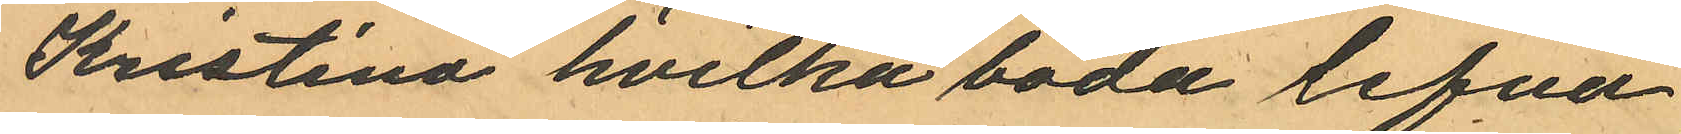Kristina hvilka båda lefva
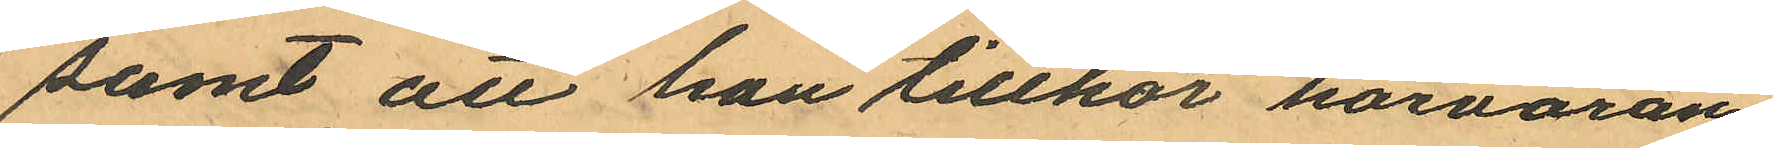samt att han tillhör härvaran¬
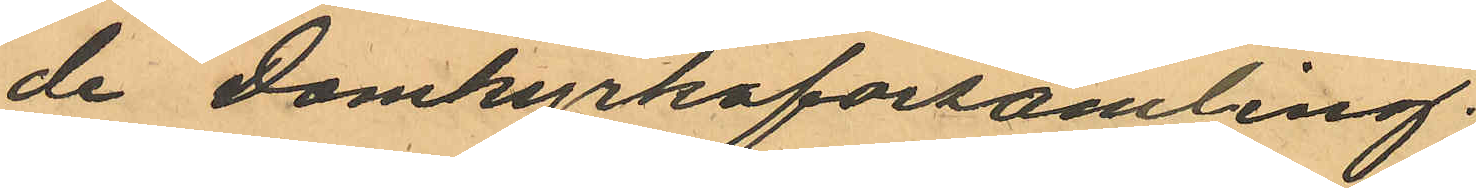de Domkyrkoförsamling.
